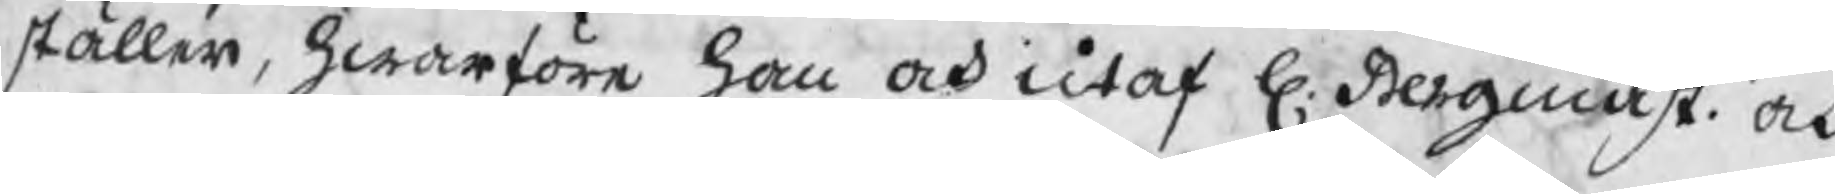ställer, hwarföre han och utaf H. Bergmäst. och
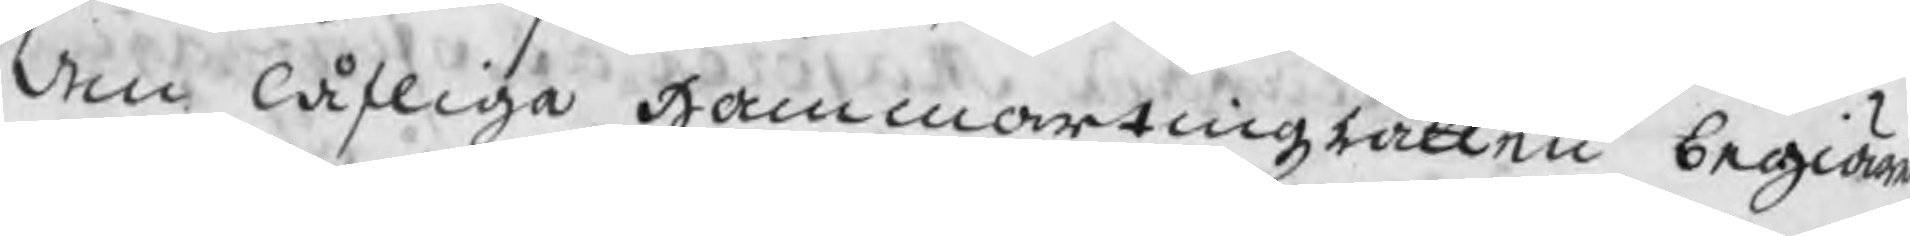den låfliga Hammartingzrätten begiäran
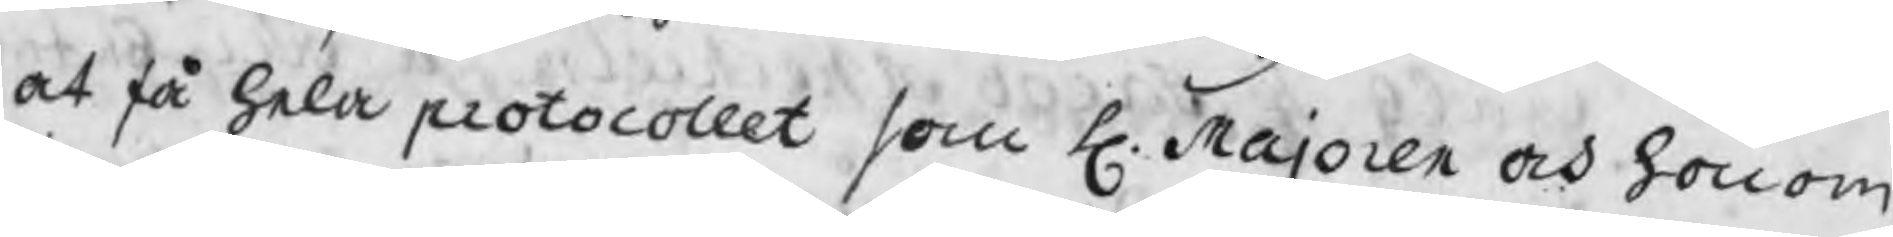at få hela protocollet som H. Majoren och honom
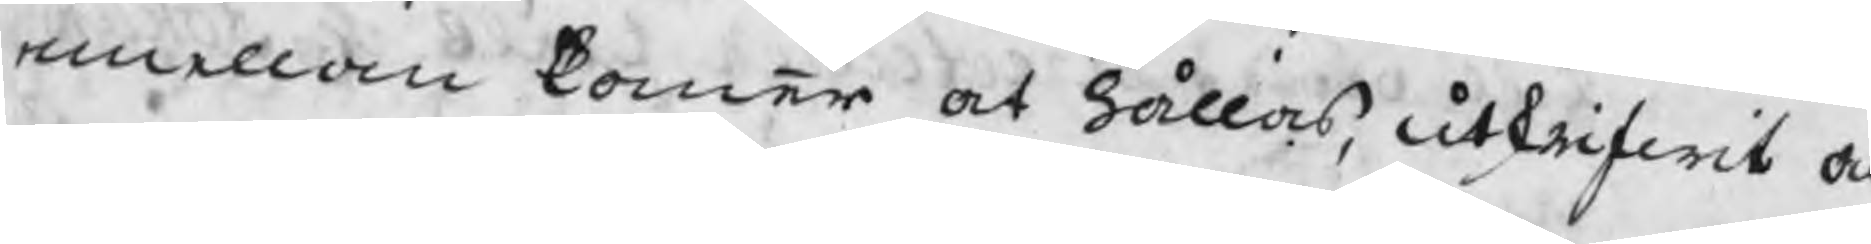emellan kommer at hållas, utskrifwit och
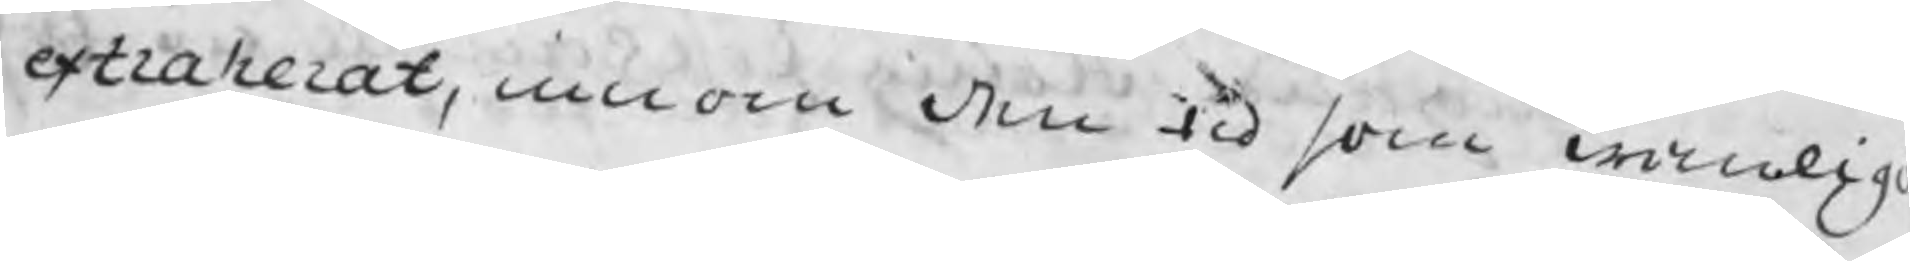extraherat, innom den tid som wanlig
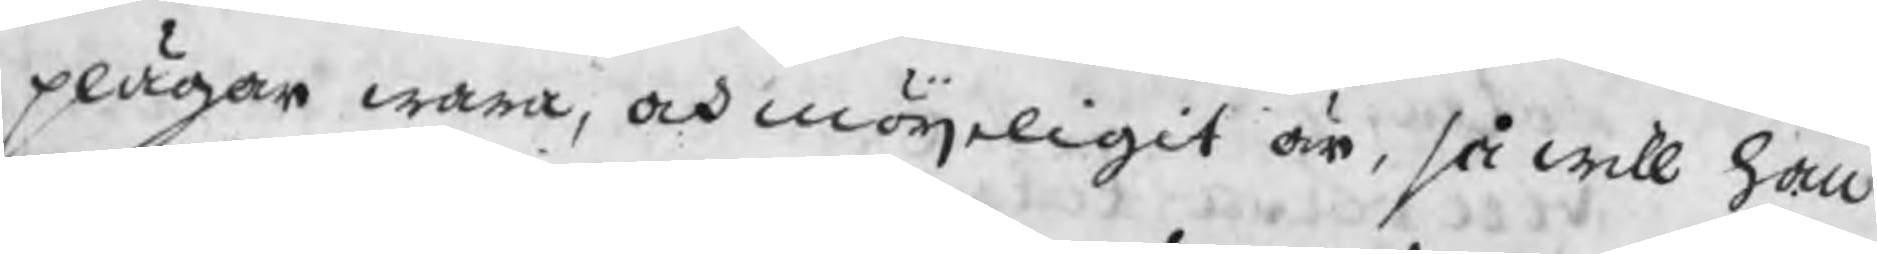plägar wara, och möjeligit är, så will han
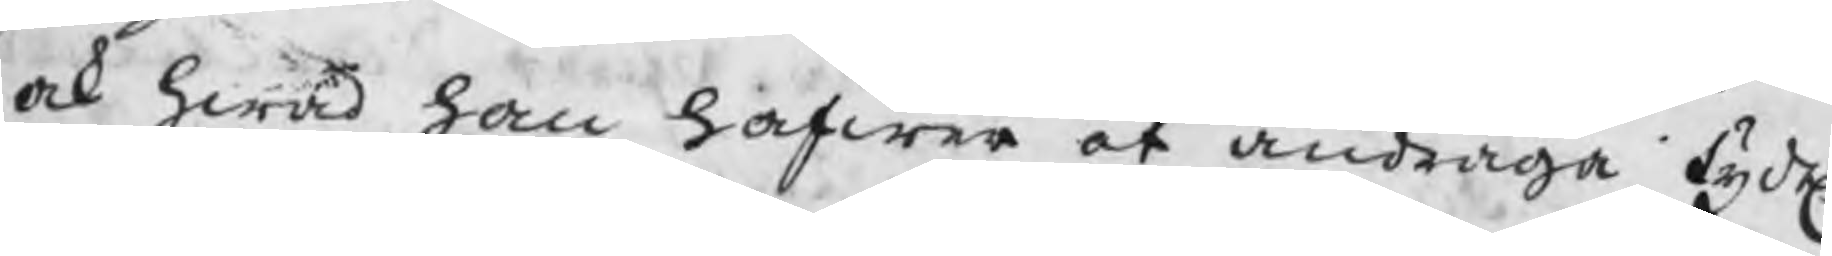ock hwad han hafwa at andraga tydel.
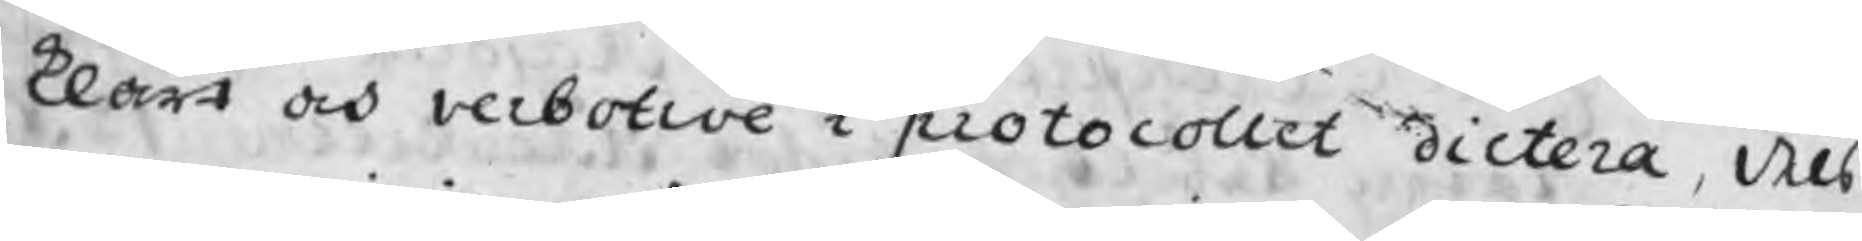klart och verbotive i protocollet dictera dels
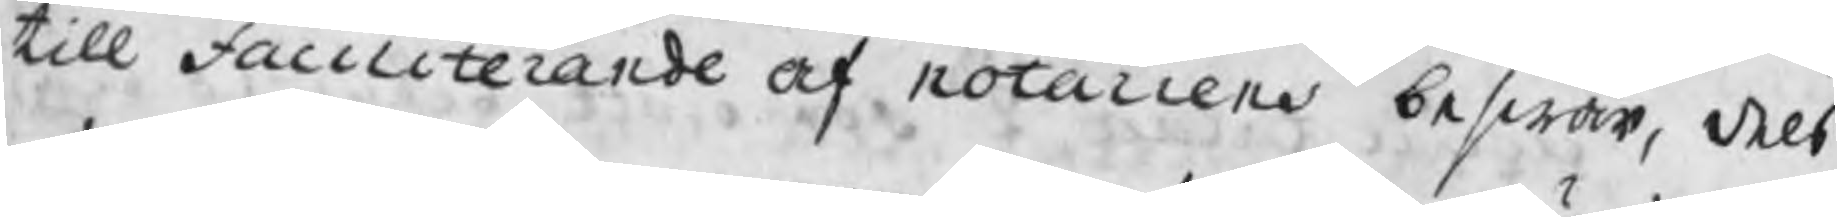till Faciliterande af notariens beswär, dels
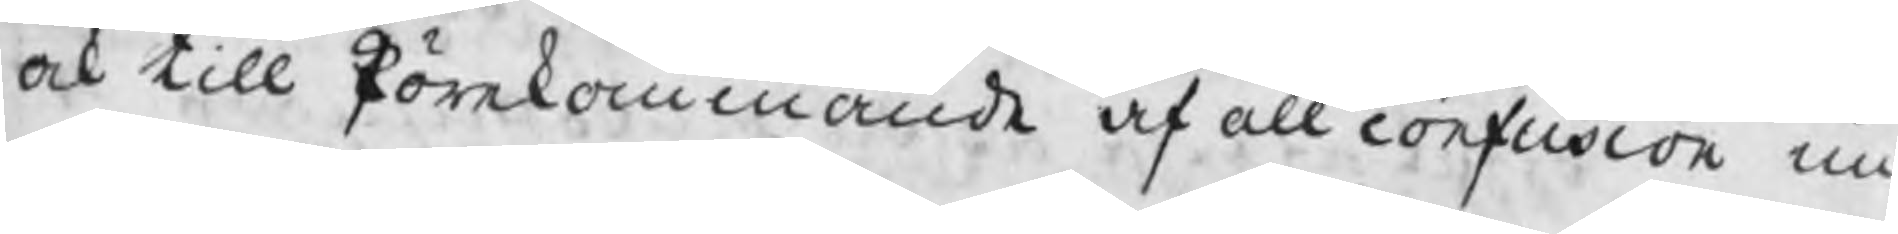ock till förekommande af all confusion un¬
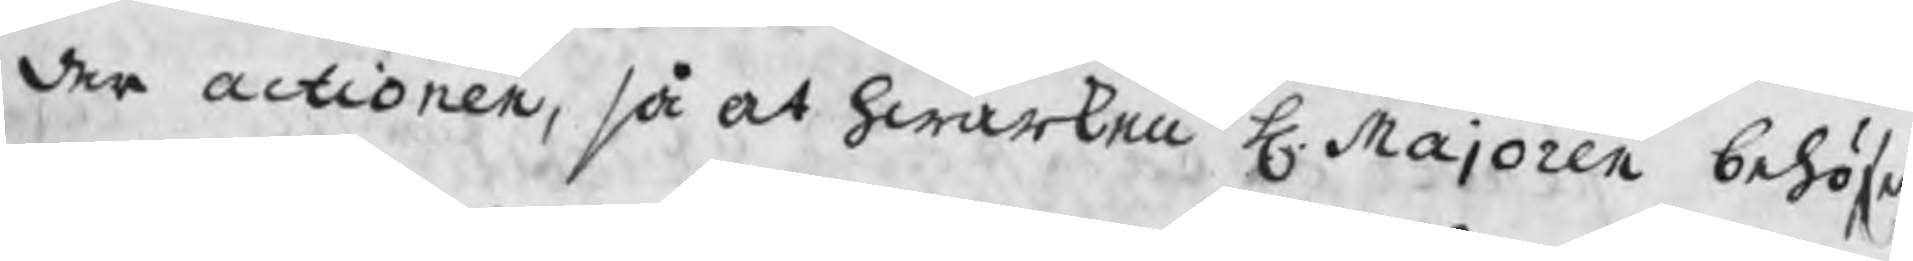der actionen, så at hwarken H. Majoren behöfer
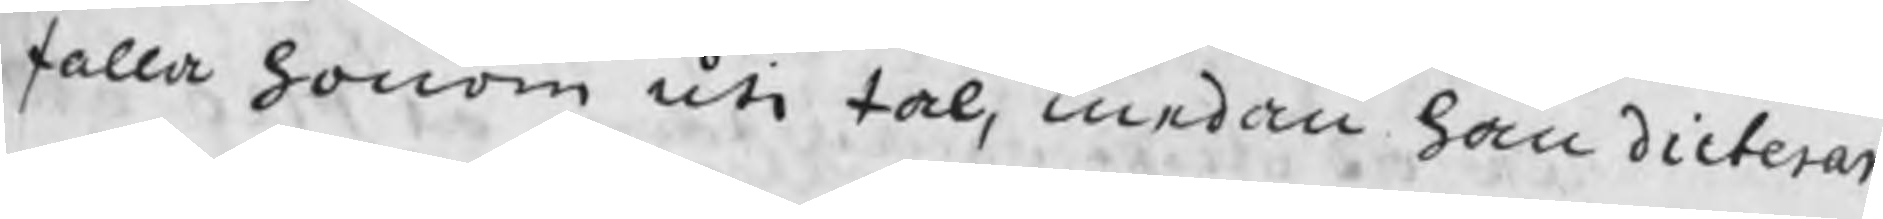falla honom uti tal, medan han dicterar
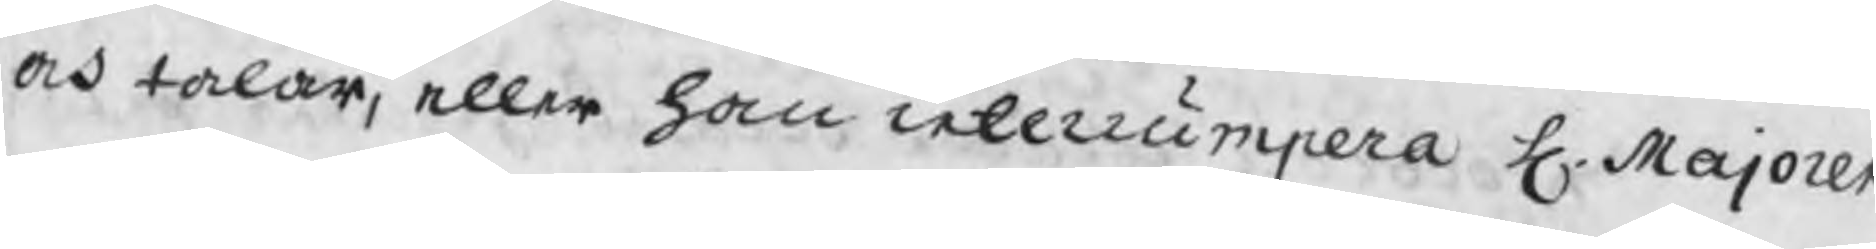och talar, eller han interrumpera H. Majoren
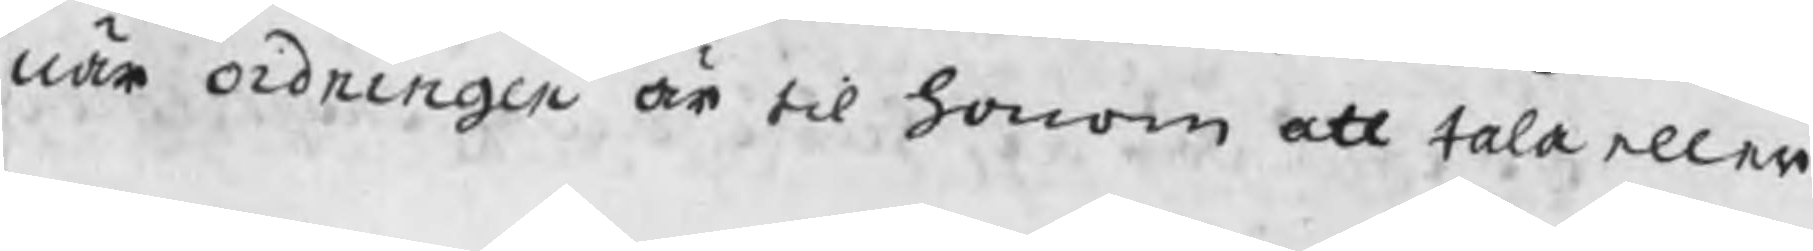när ordningen är til honom att tala eller
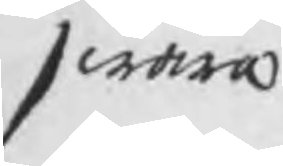swara
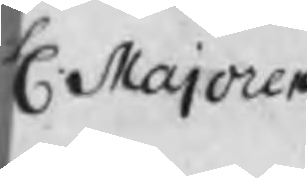H Majoren,
